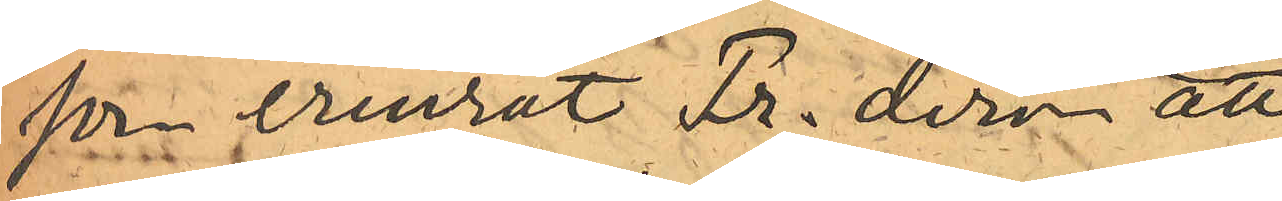son erinrat Fr. derom att
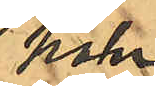han
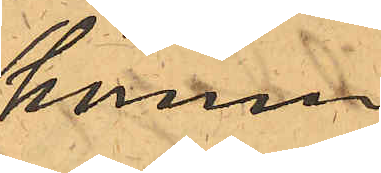kommer
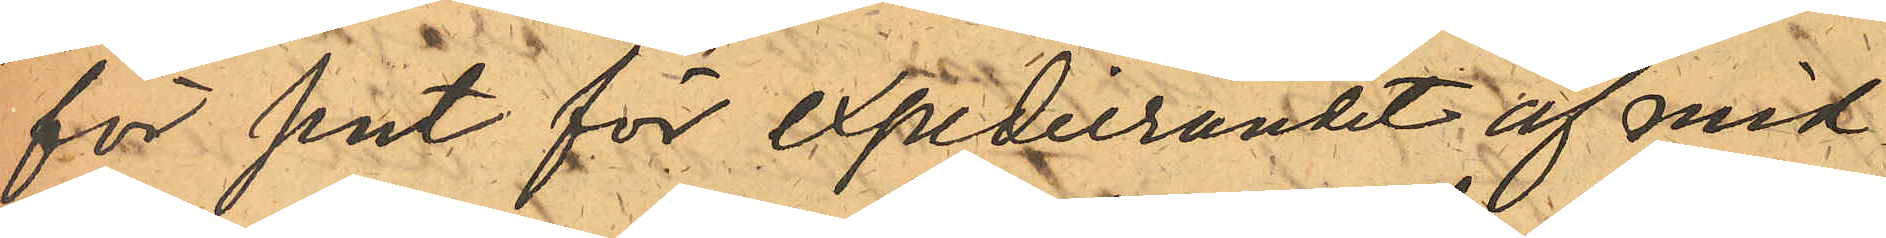för sent för expedierandet af mid¬
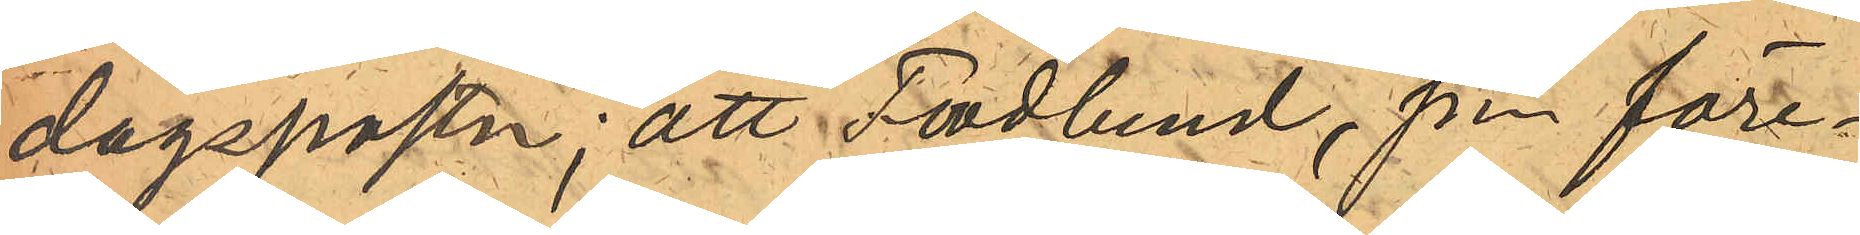dagsposten; att Frodlund, som före¬
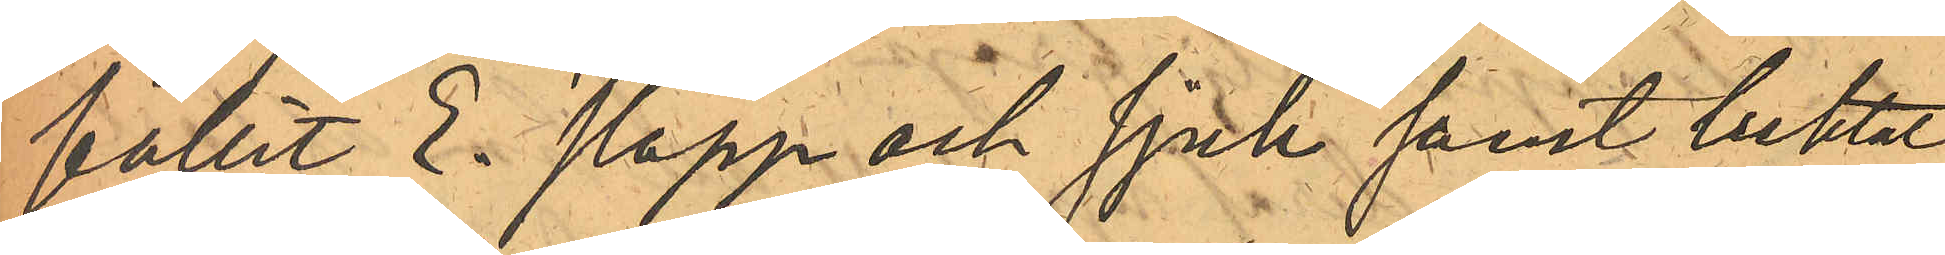fallit E. slapp och sjuk samt luktat
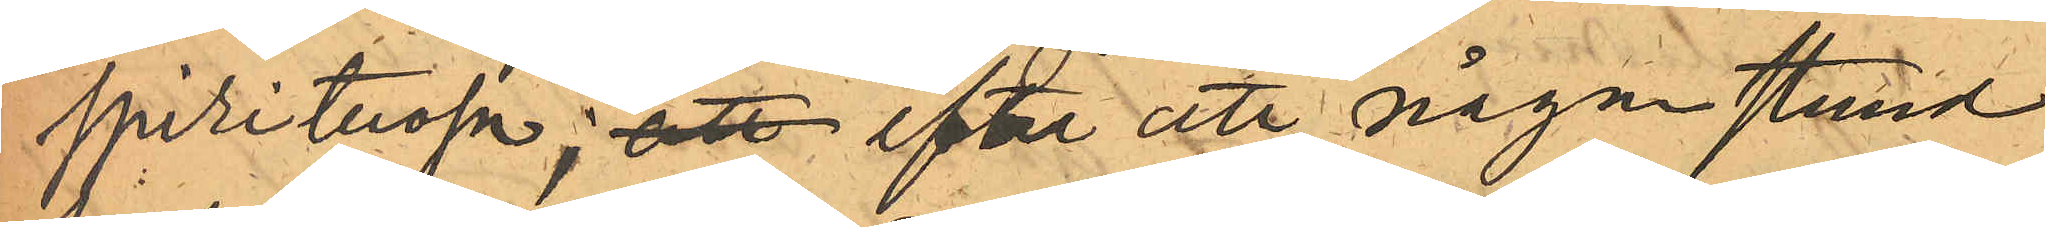spirituosa; att efter att någon stund
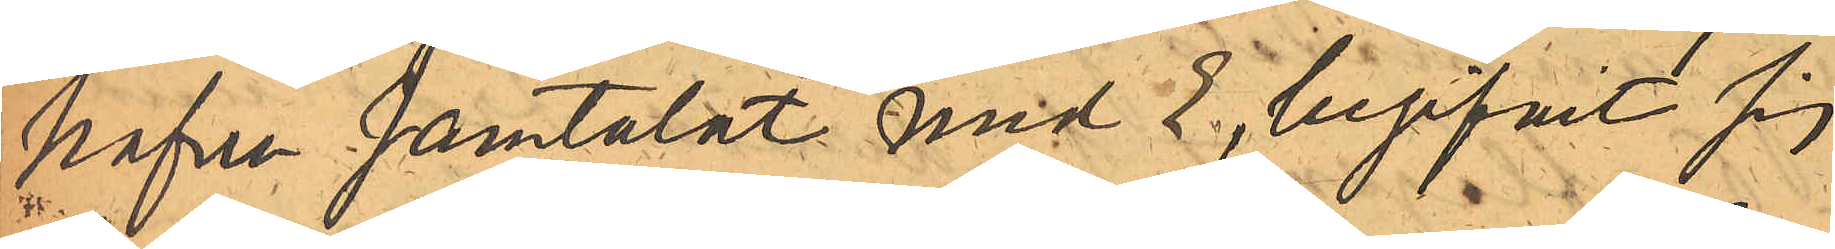hafva samtalat med E., begifvit sig
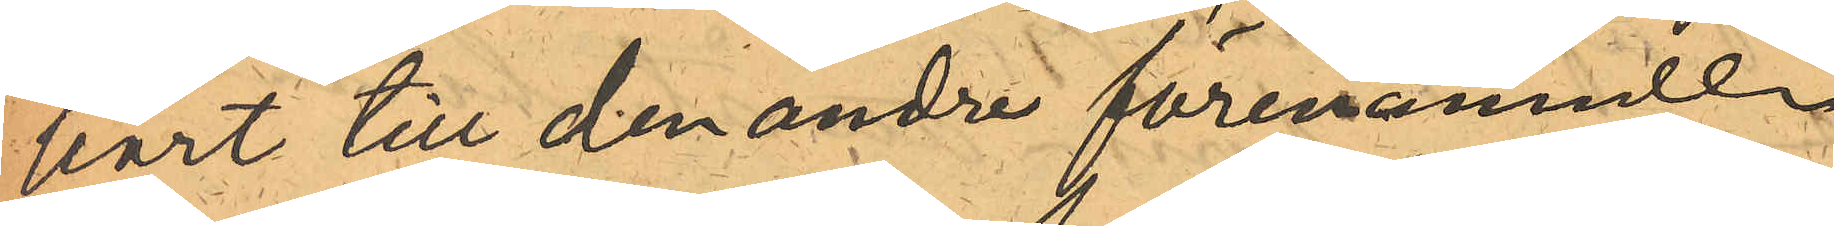bort till den andre förenamnde
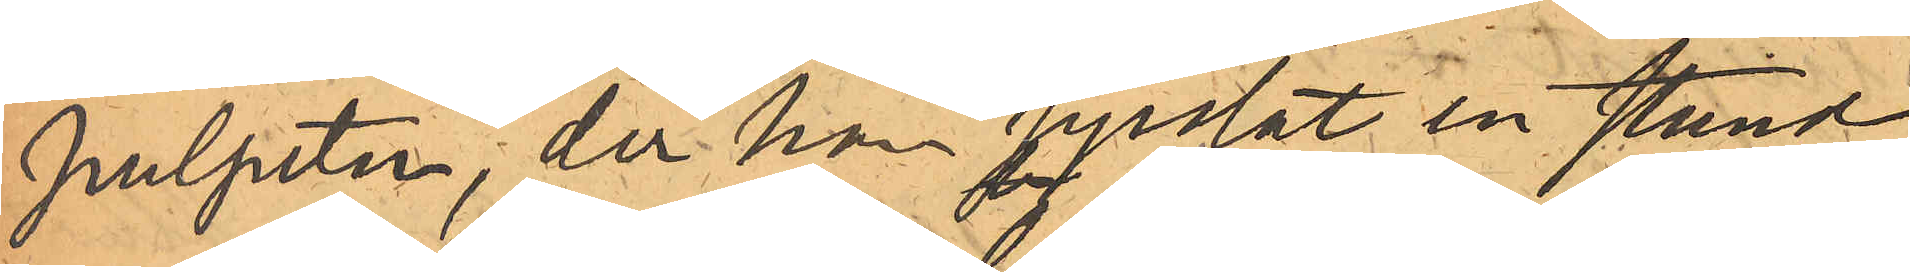pulpeten, der han sysslat en stund;
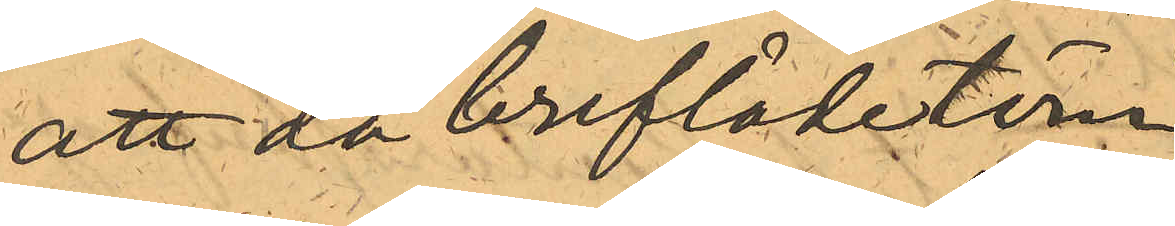att då breflådetöm¬
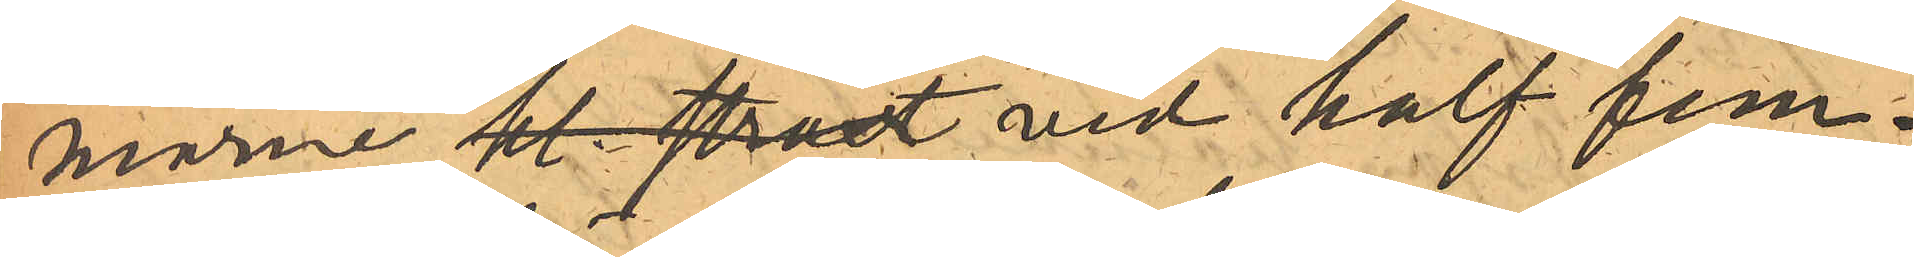marne  kl. straxt vid half fem¬
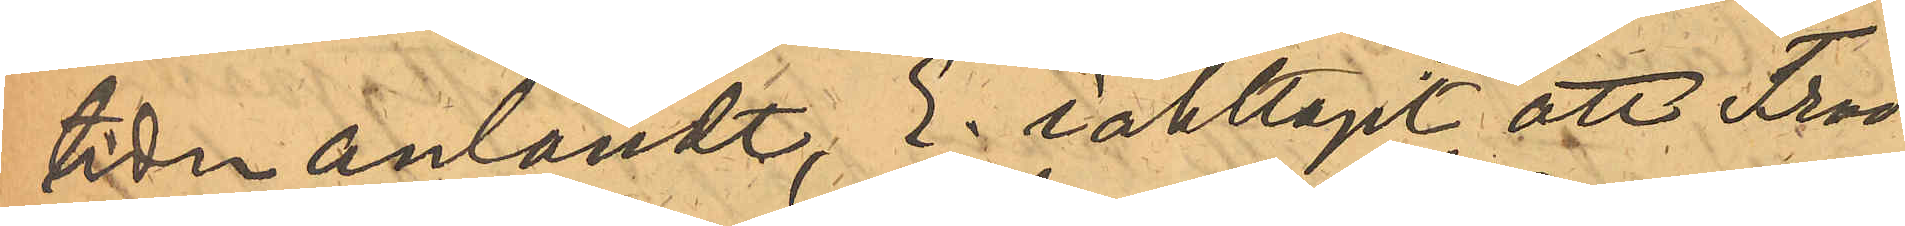tiden anländt, E. iakttagit att Frod¬
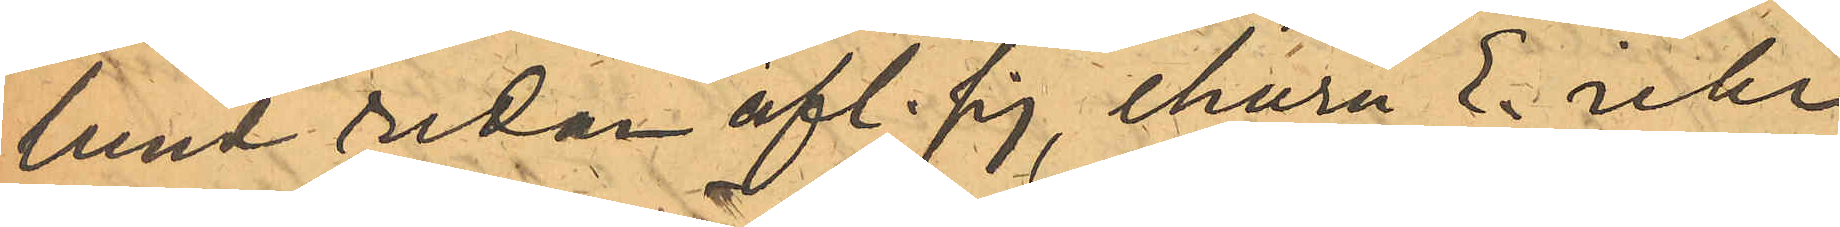lund sedan afl. sig, ehuru E. icke
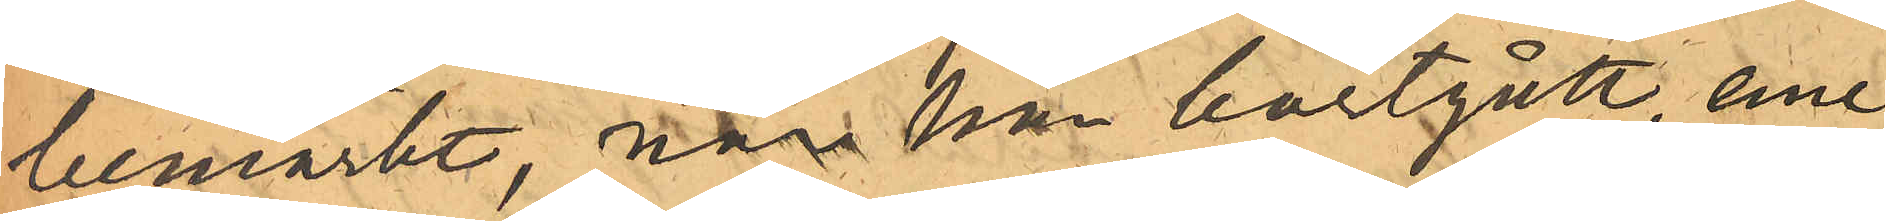bemärkt, när han bortgått, eme¬
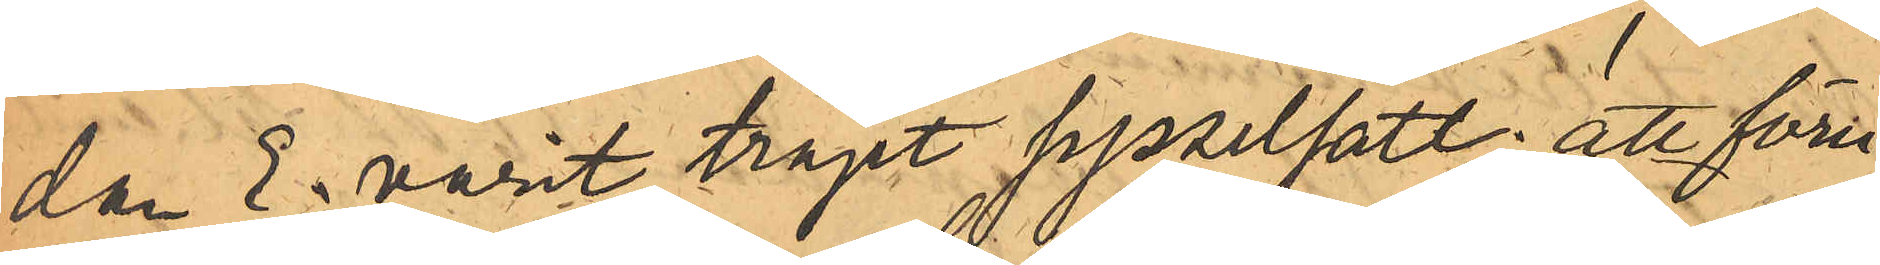dan E. varit träget sysselsatt; att föru¬
